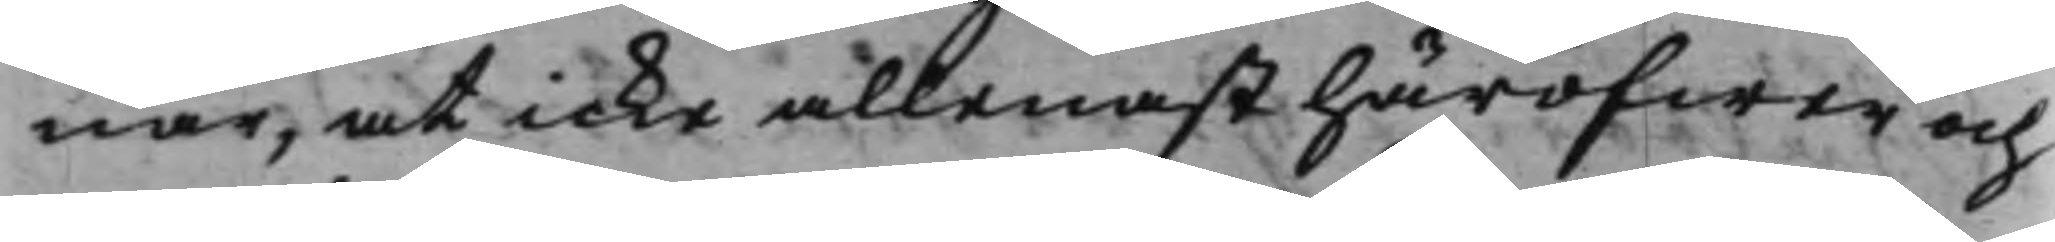nar, at icke allenast häröfwer och
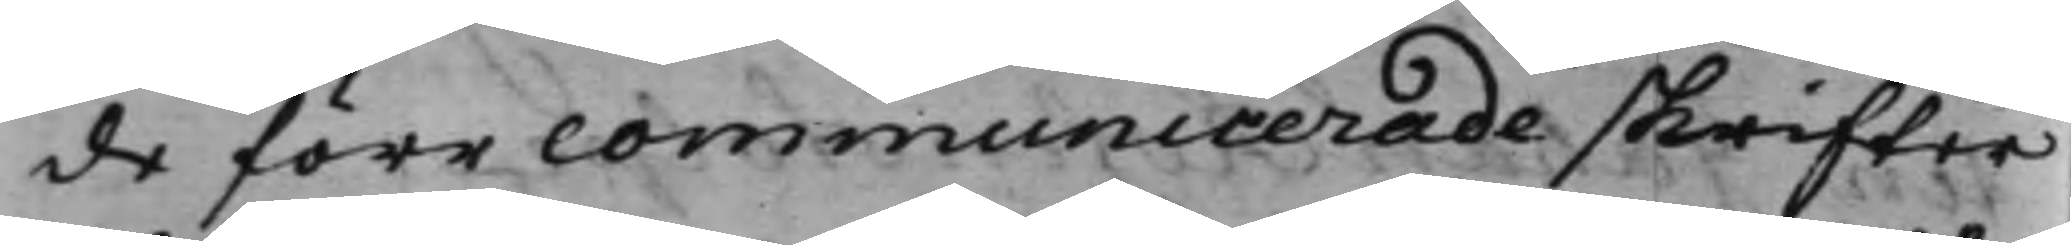de förr communicerade skrifter
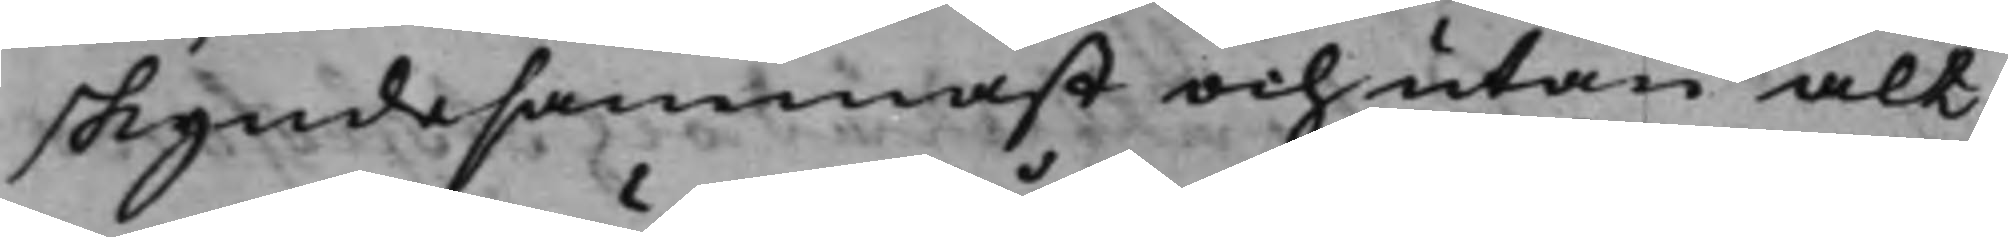skyndesammast och utan alt
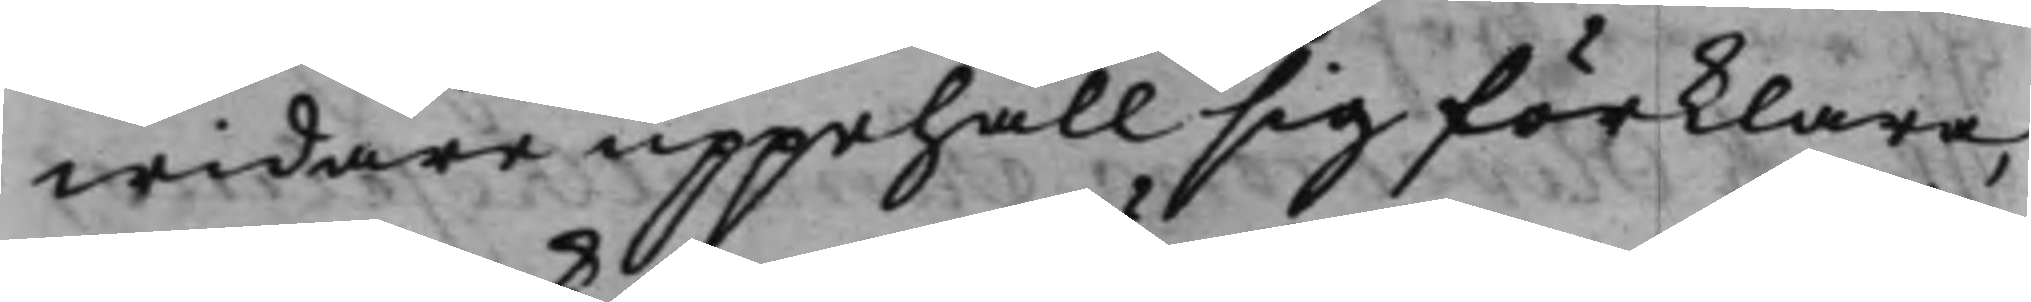widare uppehåll sig förklara,
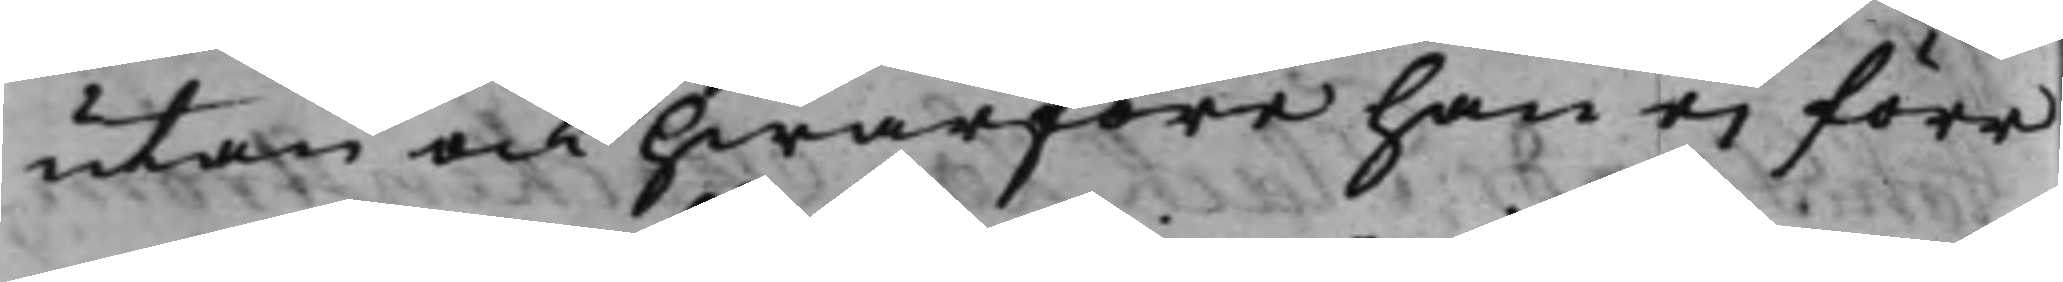utan ock hwarföre han ei förr
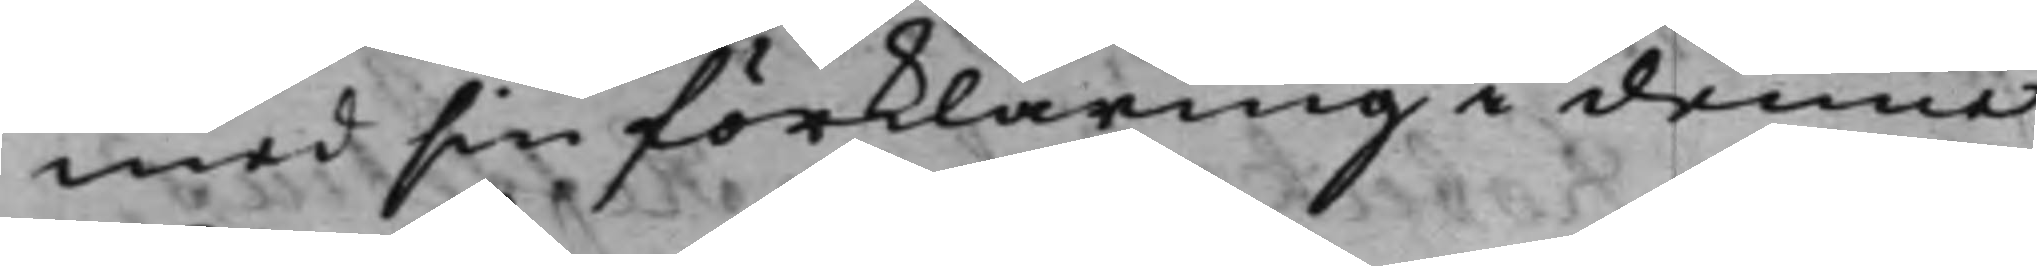med sin förklaring i denna
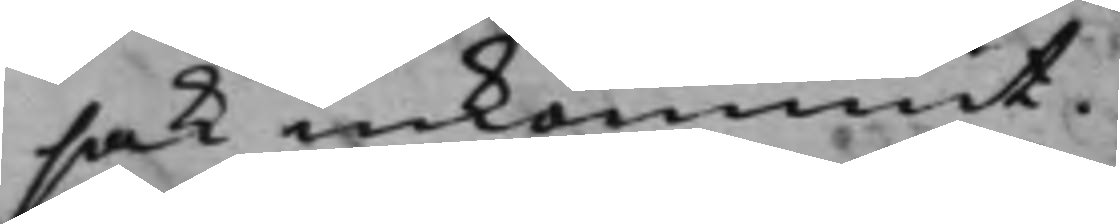sak inkommit.
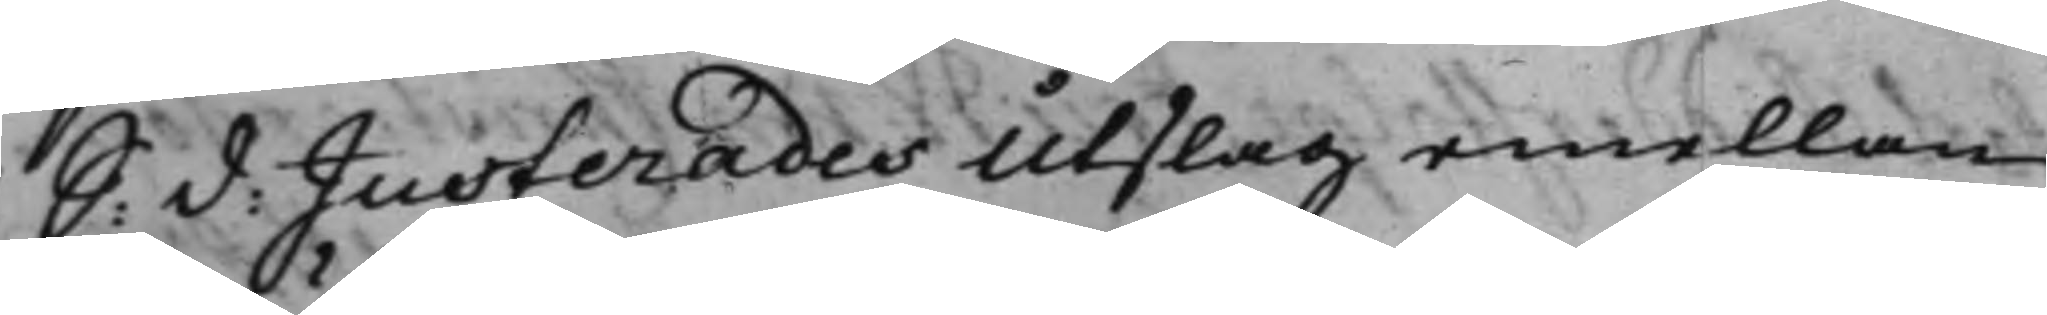S: d: Justerades Utslag emellan
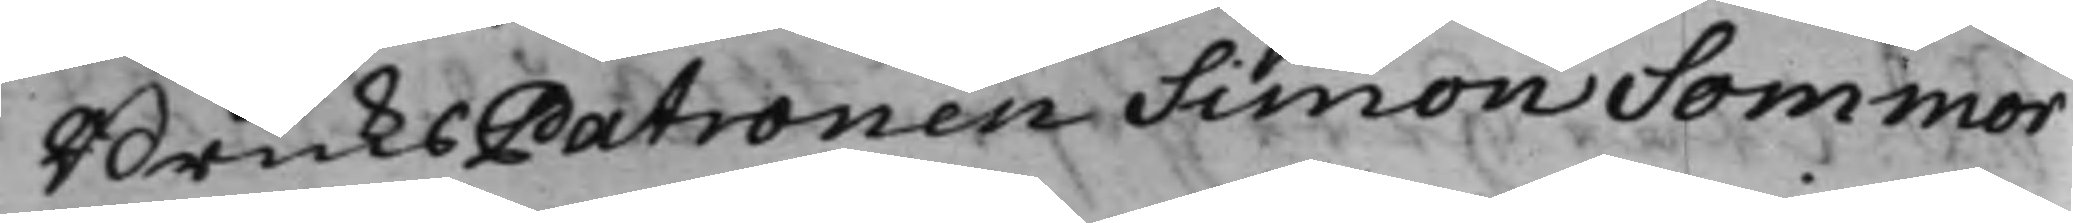BruksPatronen Simon Sommar
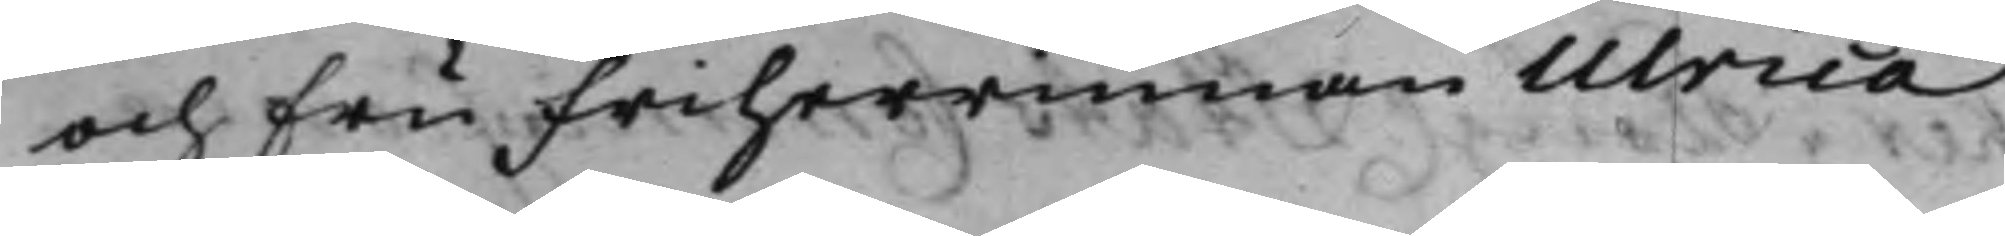och Fru Friherrinnan Ulrica
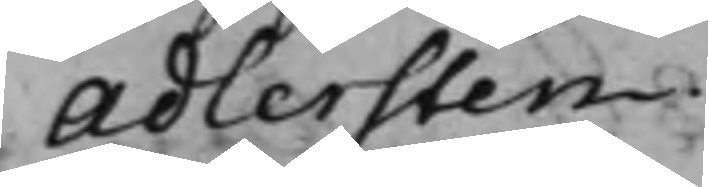Adlersten.
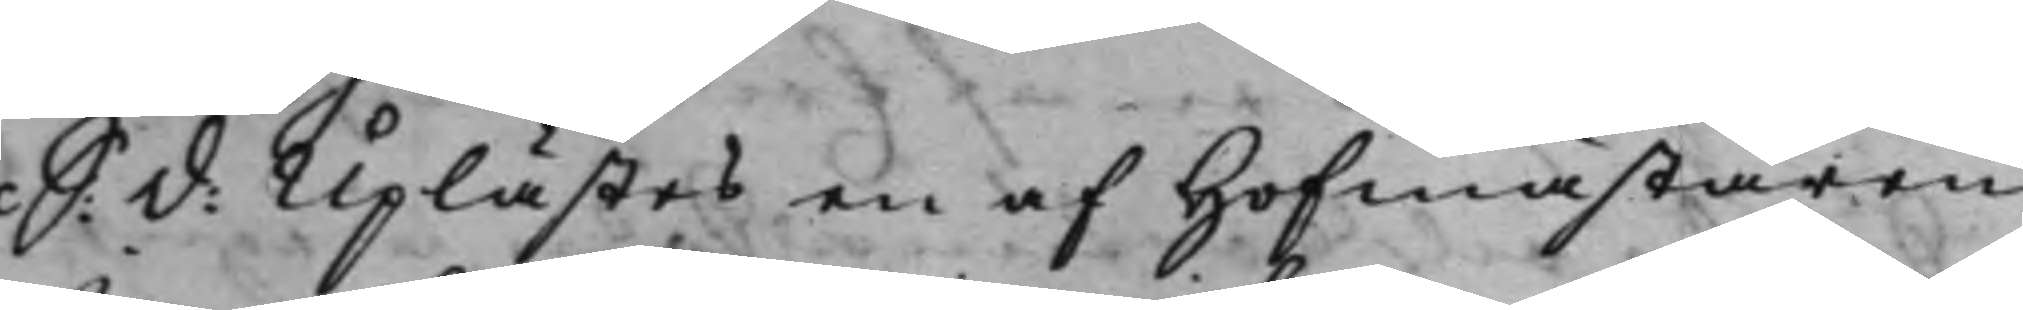S: d: Uplästes en af Hofmästaren
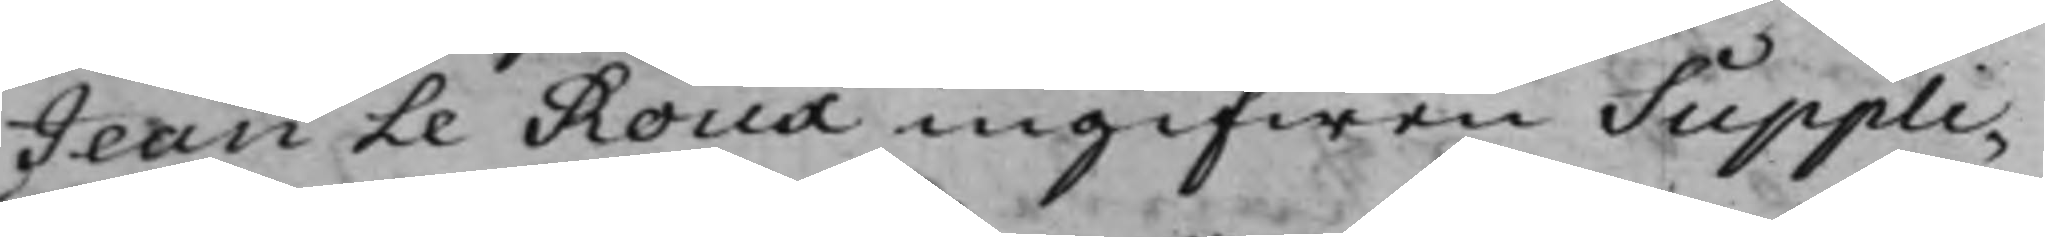Jean le Roux ingifwen Suppli¬
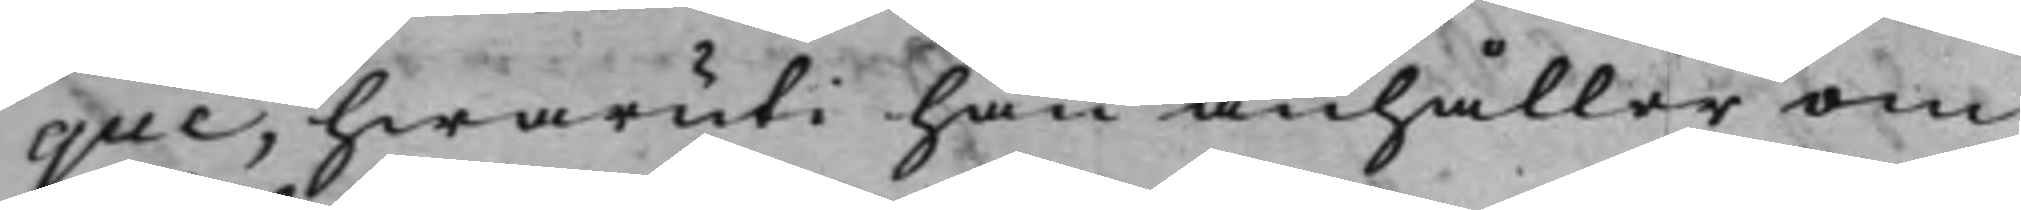que, hwaruti han anhåller om
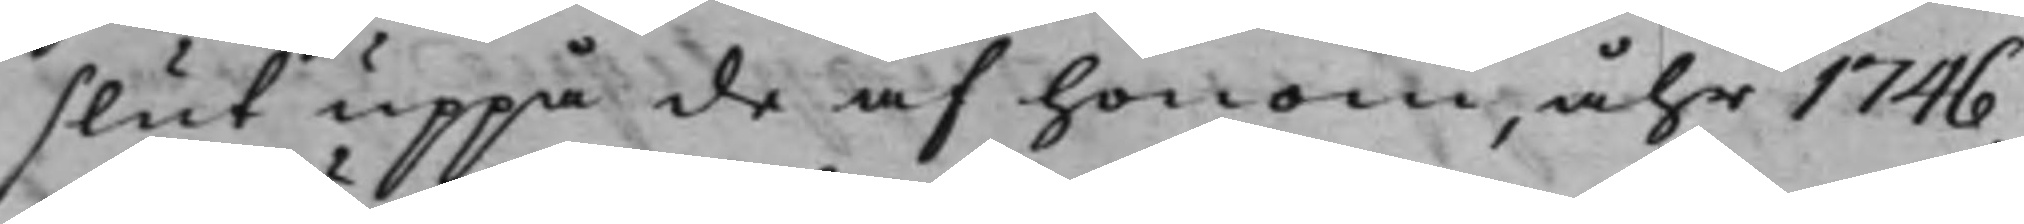slut uppå de af honom, åhr 1746,
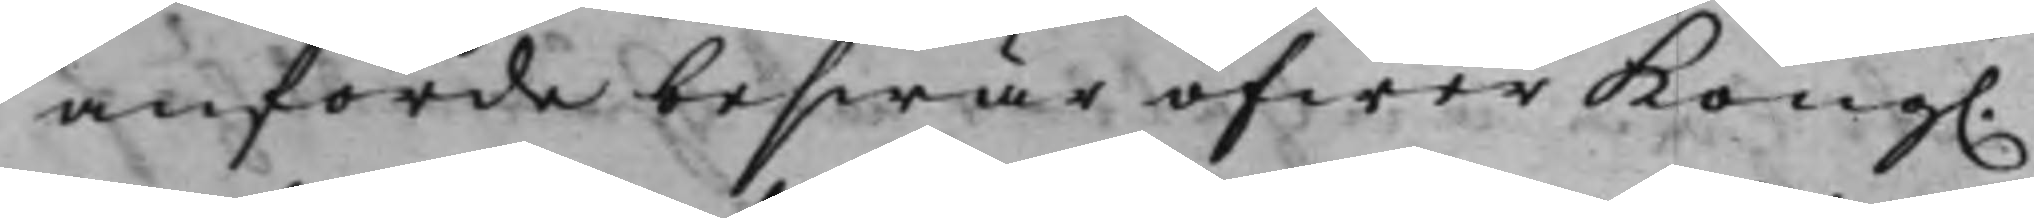anförde beswär öfwer Kong.
